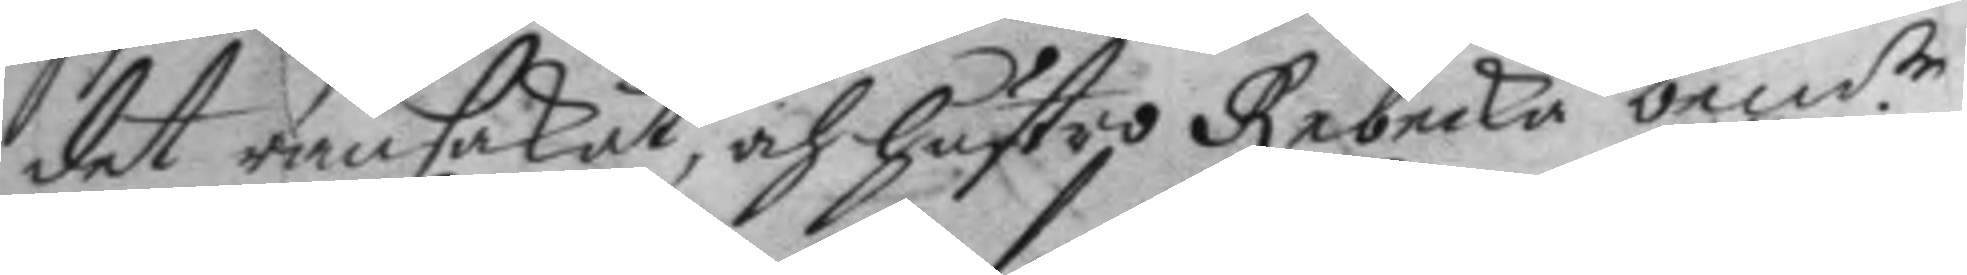det ransakat, och hustro Rebecka bem:te 
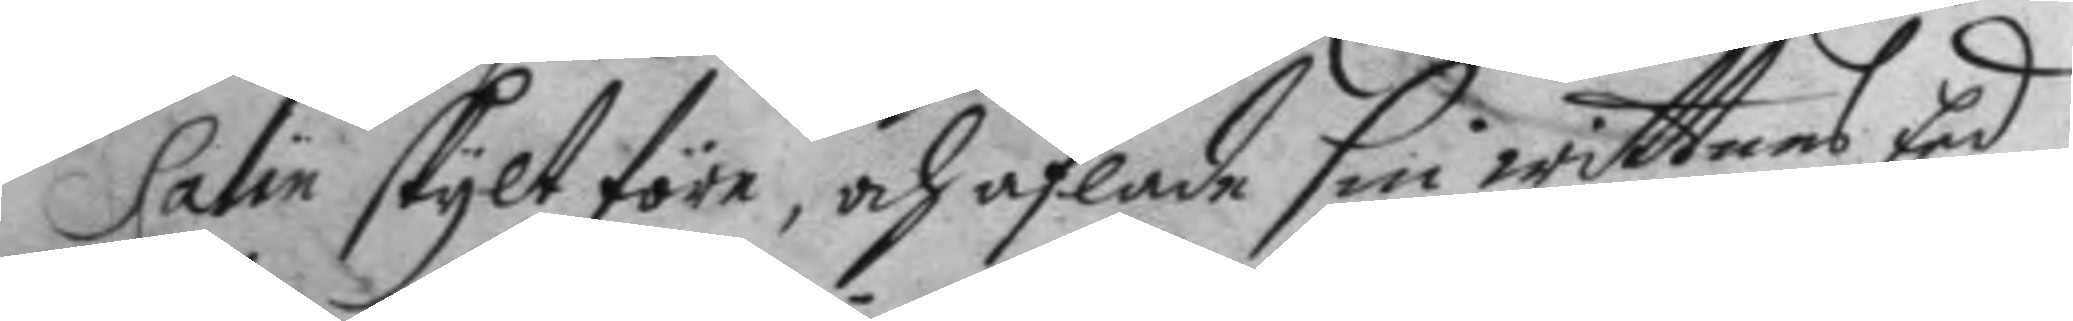Salin skylt före, och aflade sin wittnas Eed
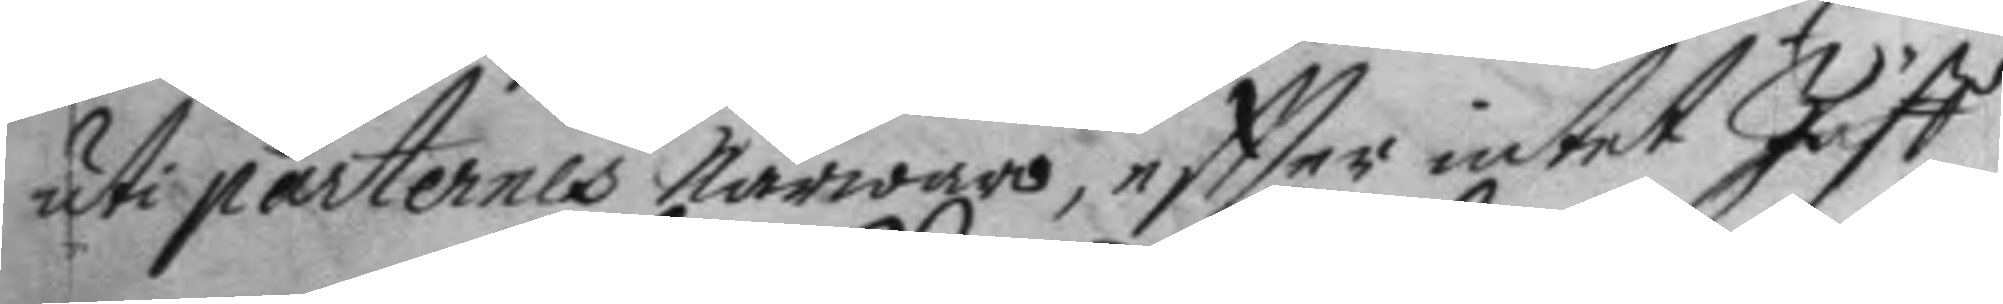uti parternes Närwaro, effter intet Jäff
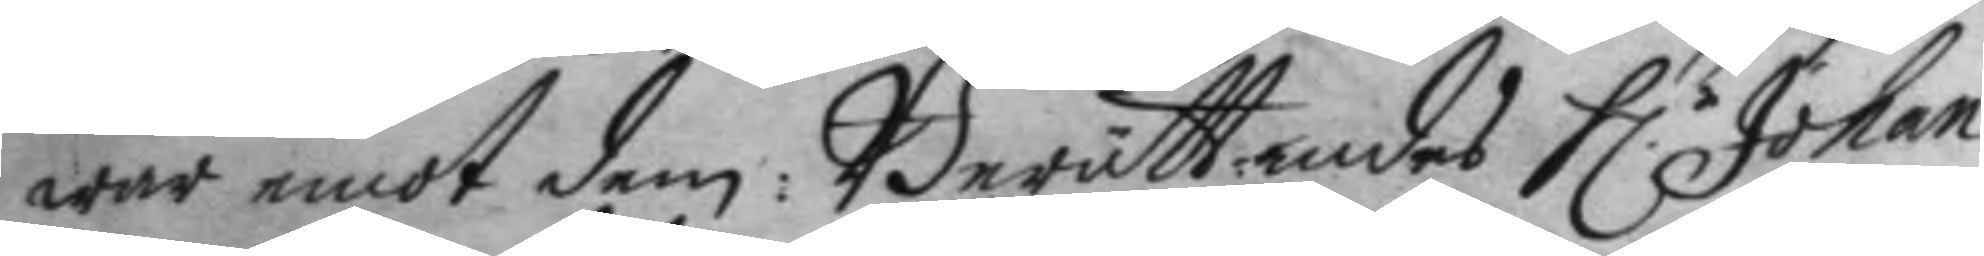war emot dem: Berättandes H.r Johan 
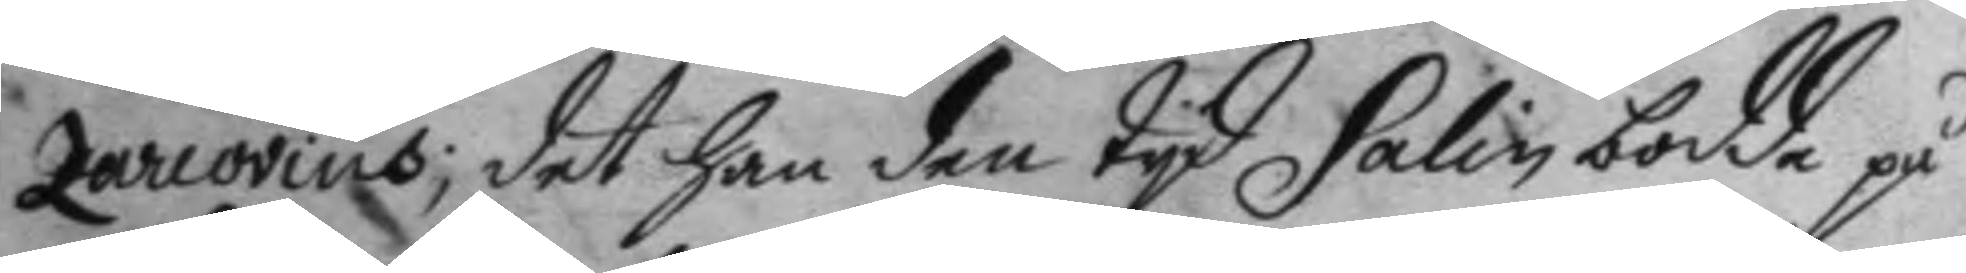Zarcovius, det han den tyd Salin bodde på
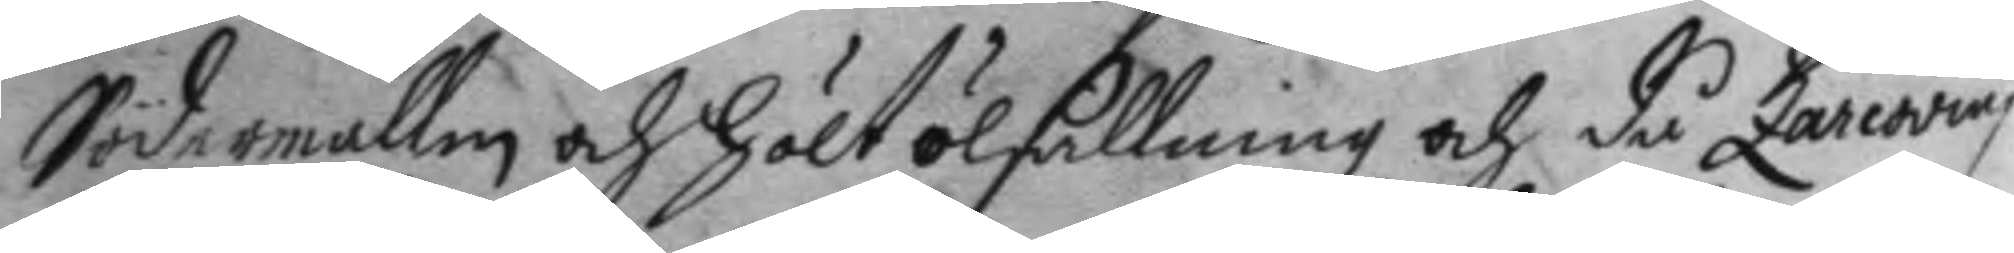Södermallm och hölt ölsällning och då Zarcovius
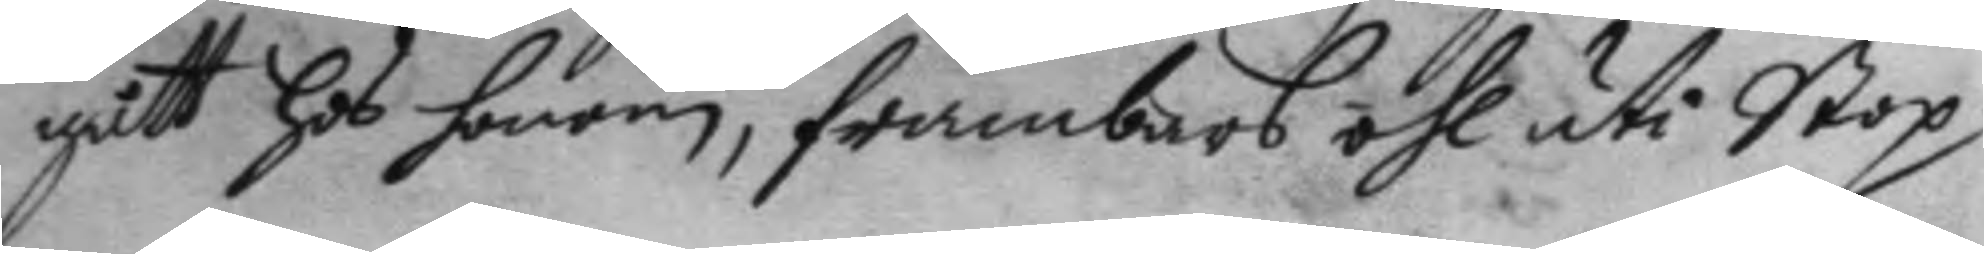gått hos honom, frambars öhl uti Stop
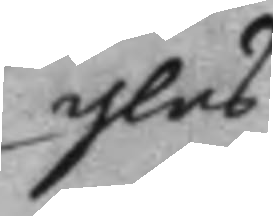glas
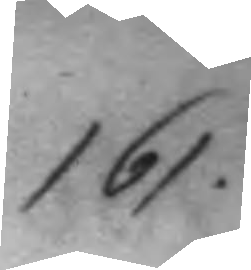161.
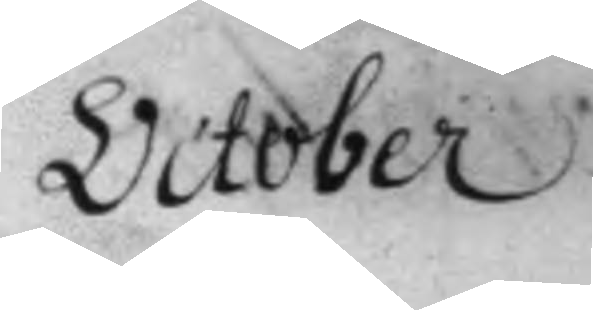October
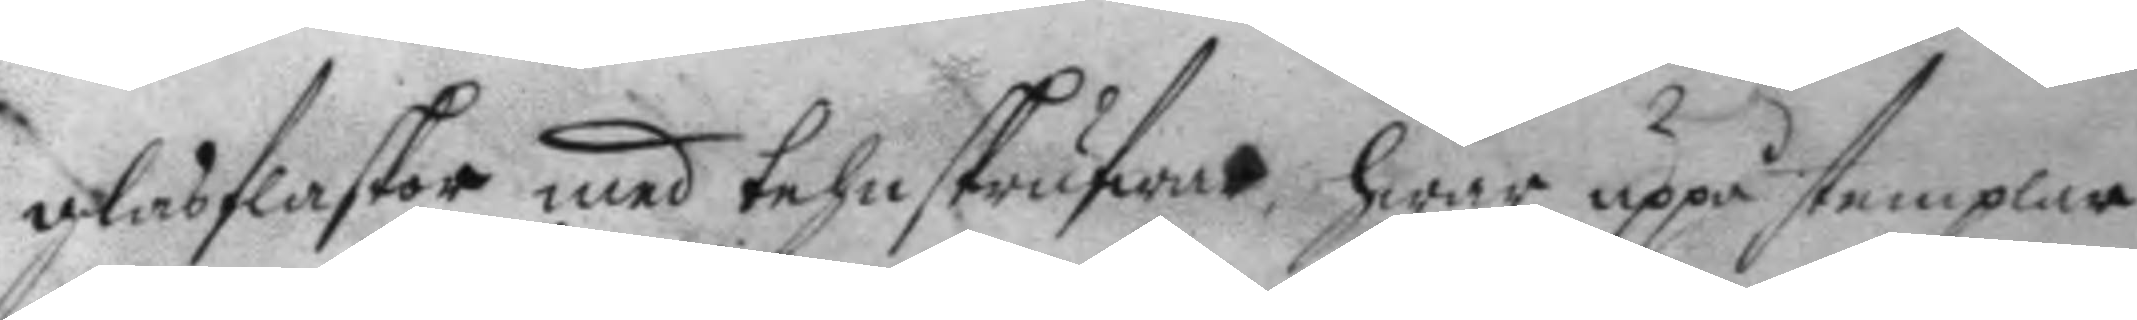glasflaskor med tehnskrufwar, hwar uppå stemplar
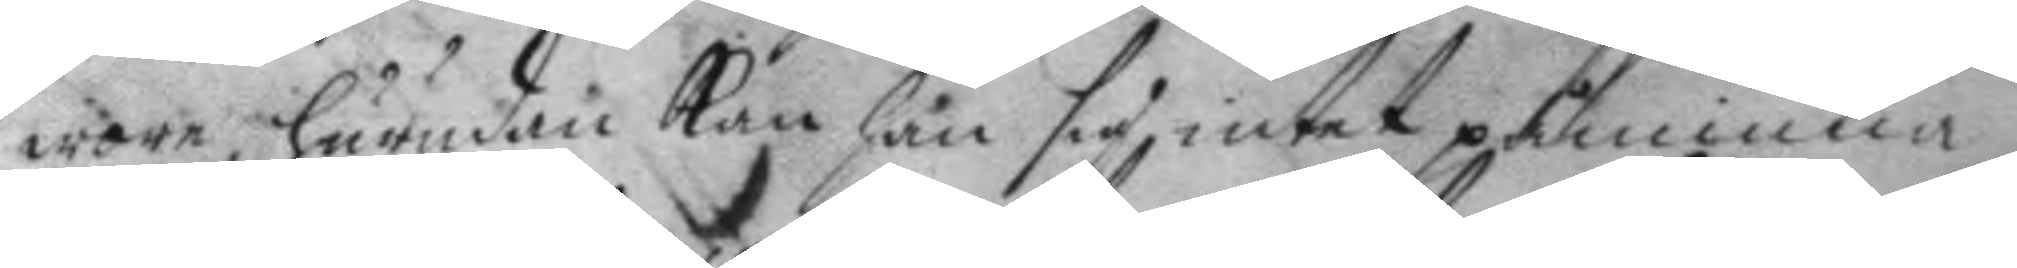wore, hurudan Kan han sig intet påminna:
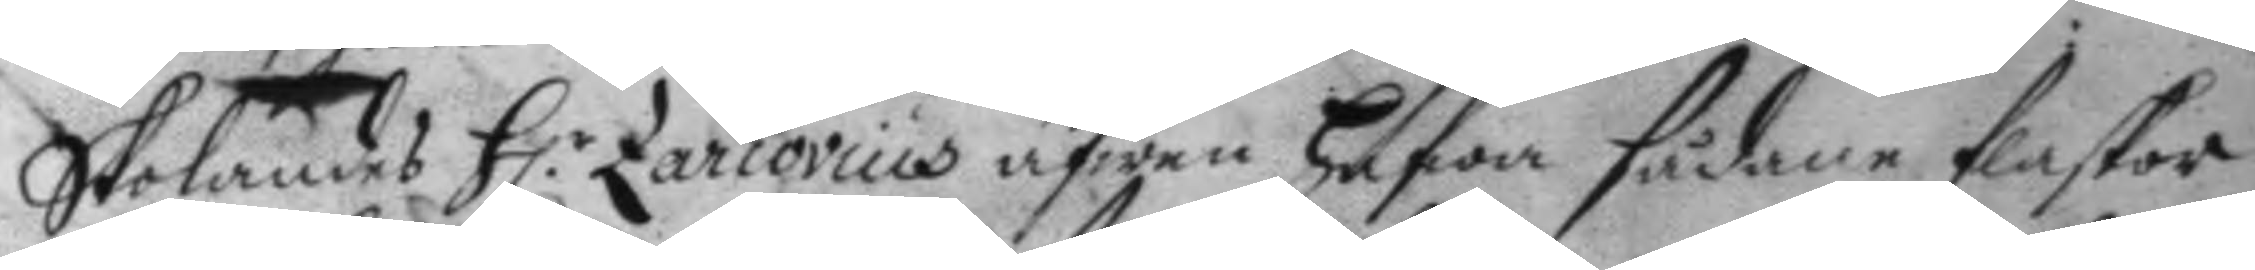skolandes H:r Zarcovius äfwen hafwa sådane flaskor 
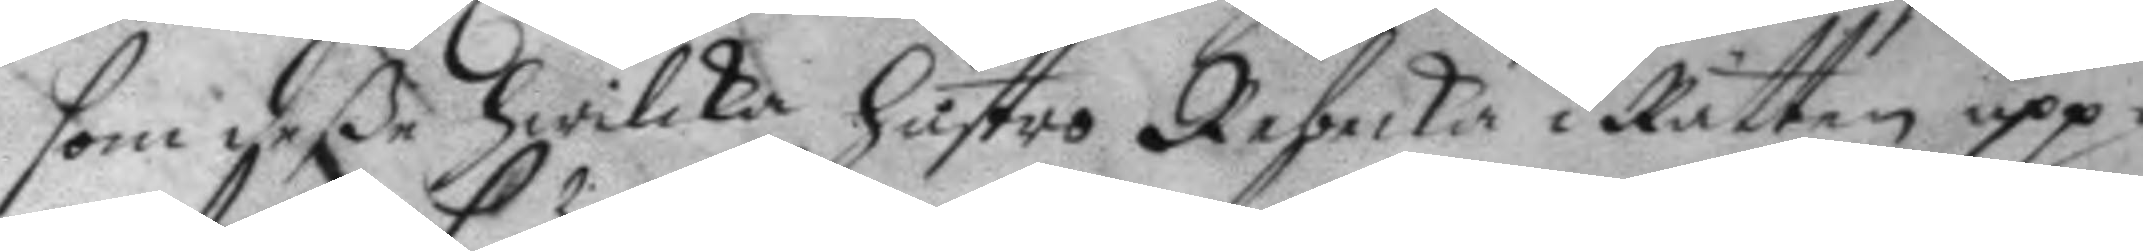som deße hwilcka hustro Rebecka i Rätten upp¬
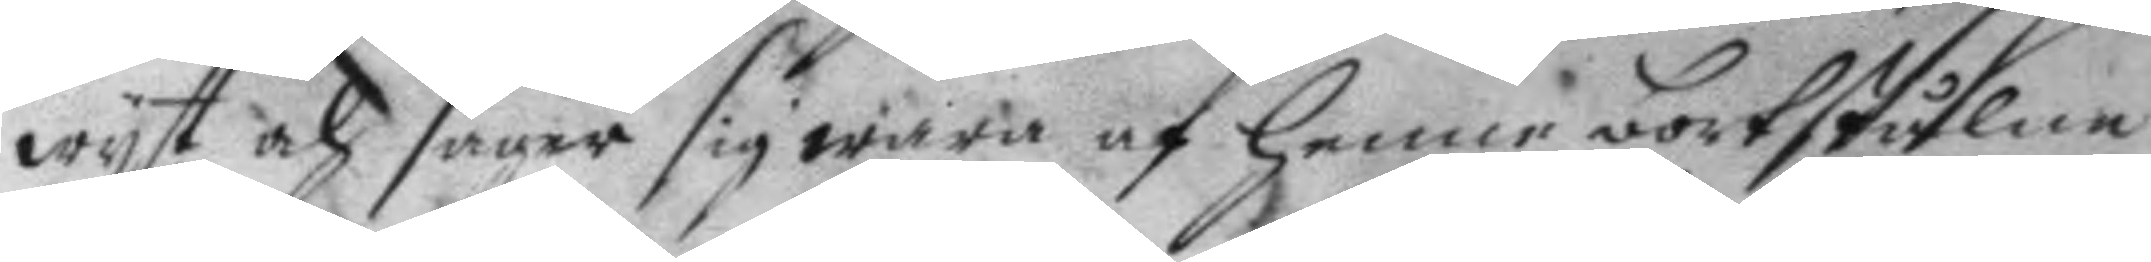wyst och säyer sig wara af henne bortstulna:
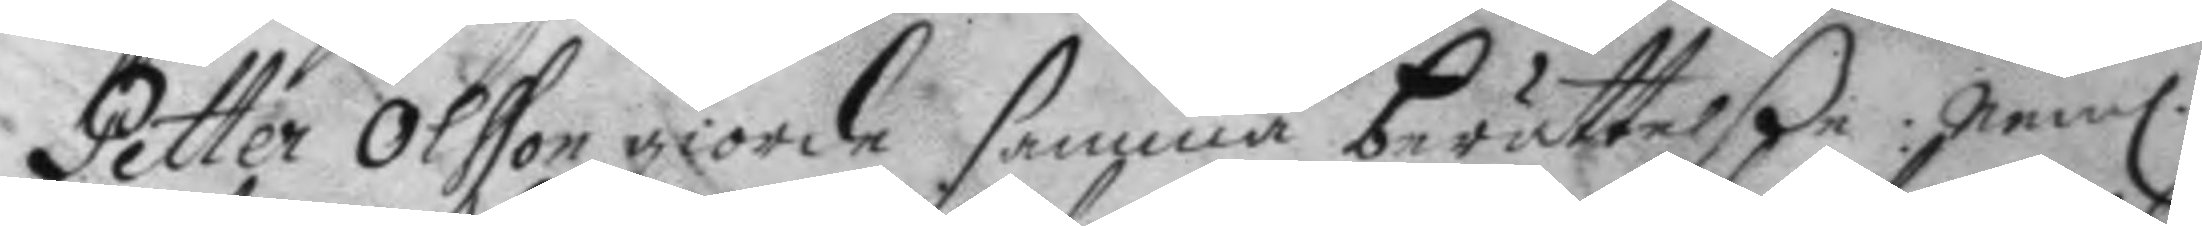Petter Olfson giorde samma berättelße, Nem. 
